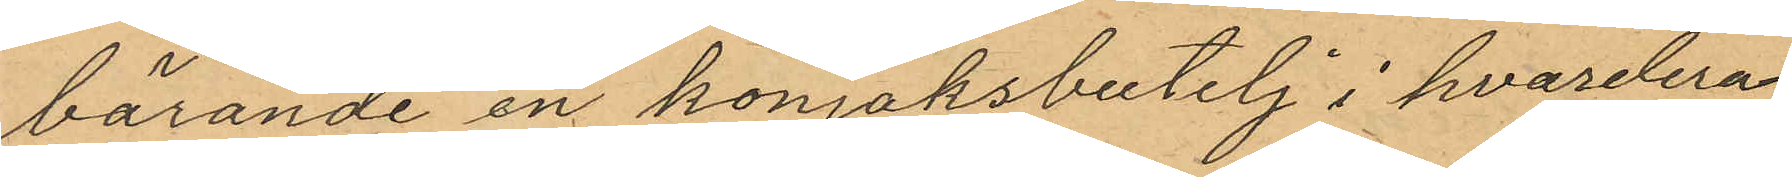bärande en konjaksbutelj i hvardera
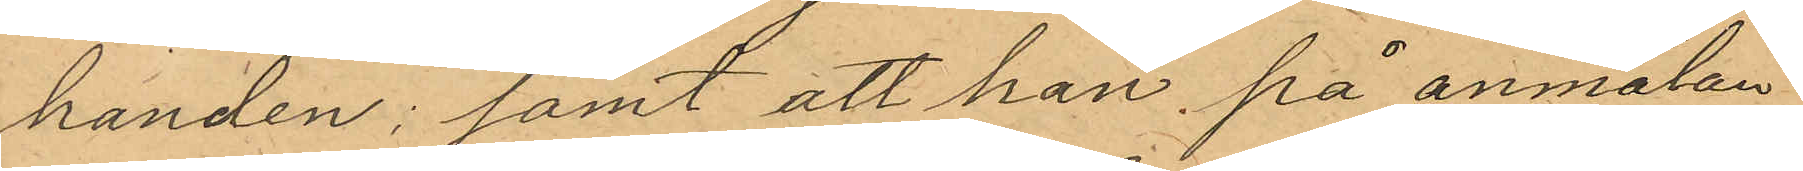handen; samt att han på anmälan
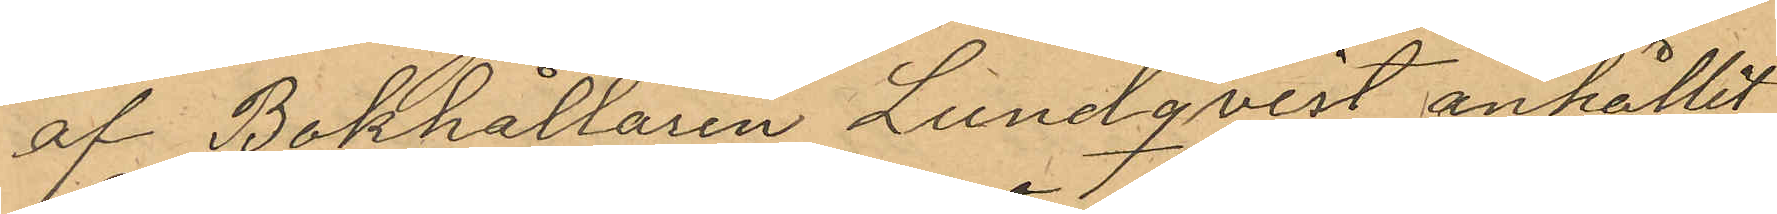af Bokhållaren Lundqvist anhållit
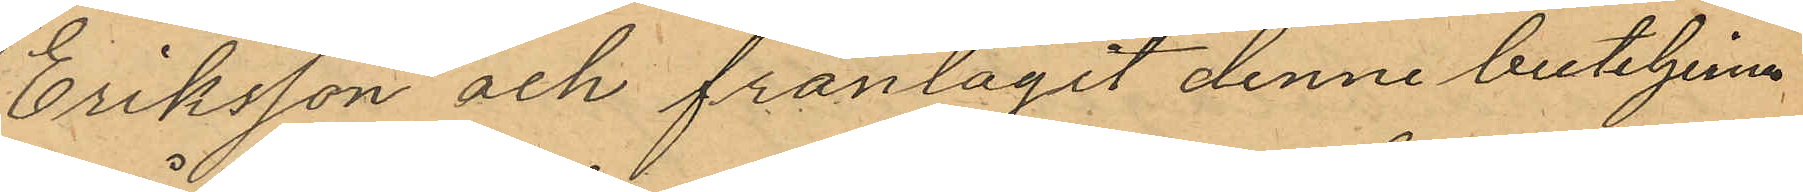Eriksson och fråntagit denne buteljerna
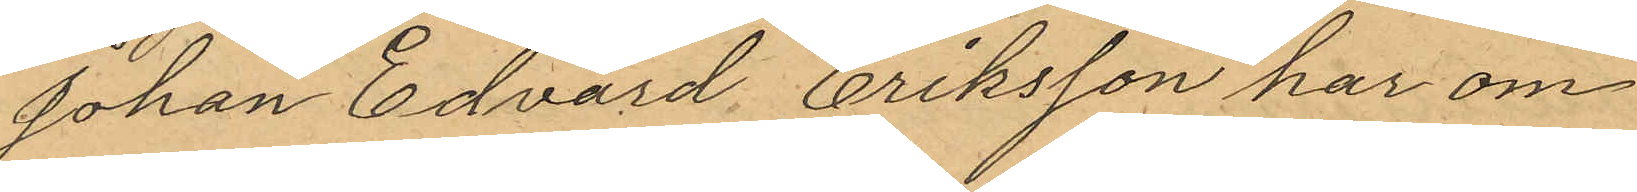Johan Edvard Eriksson har om
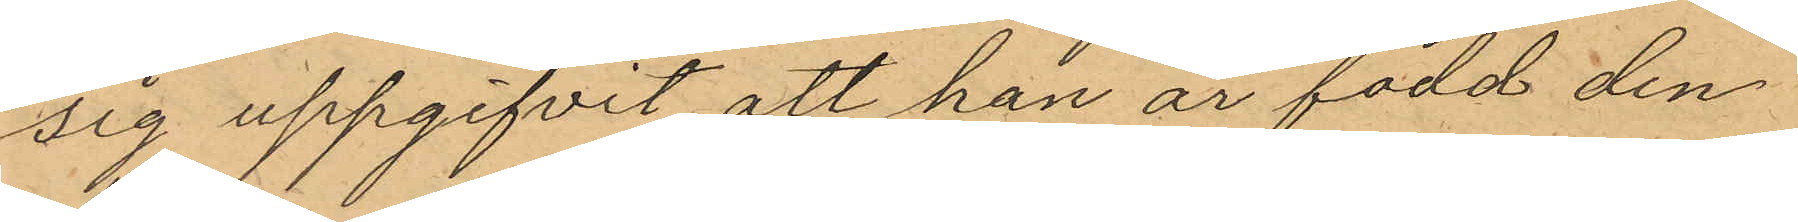sig uppgifvit att han är född den
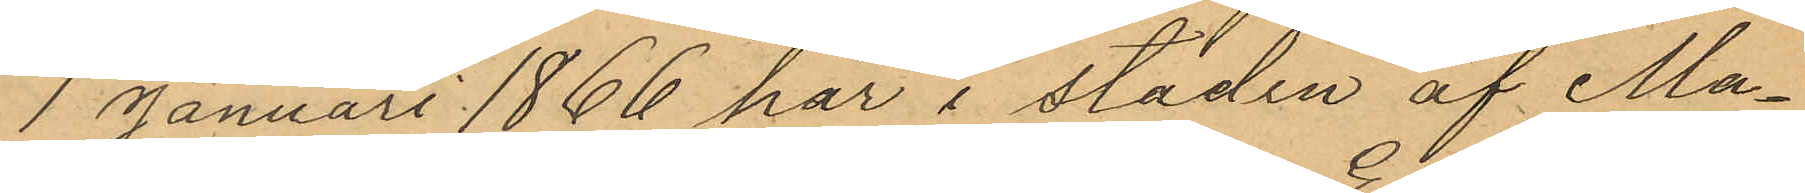1 Januari 1866 här i staden af Ma¬
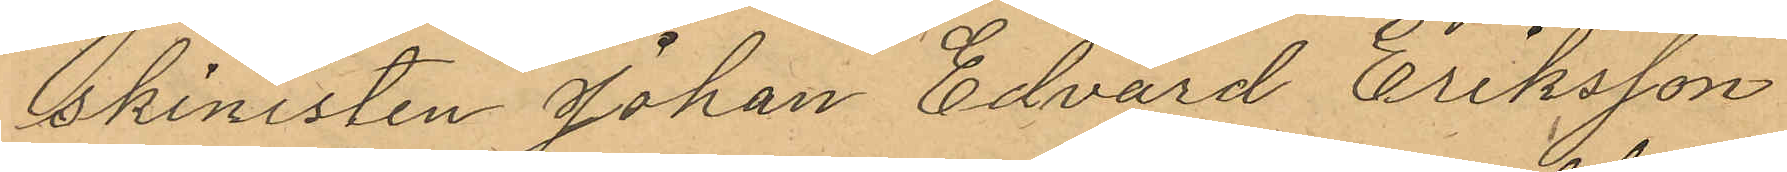skinisten Johan Edvard Eriksson
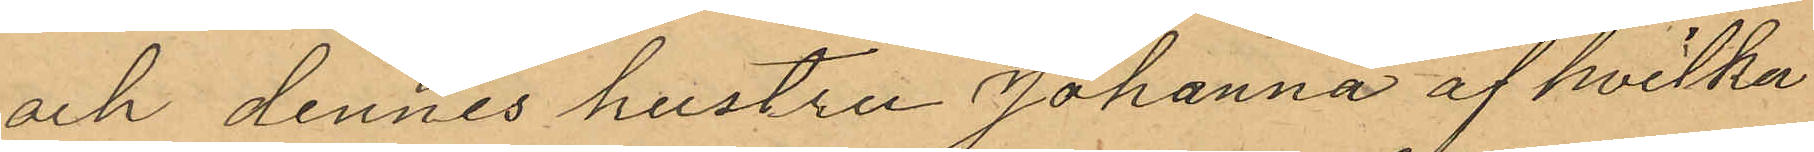och dennes hustru Johanna af hvilka
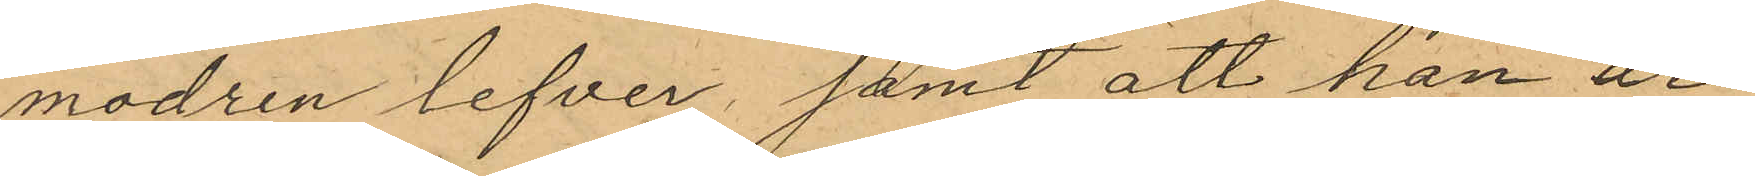modren lefver, samt att han är
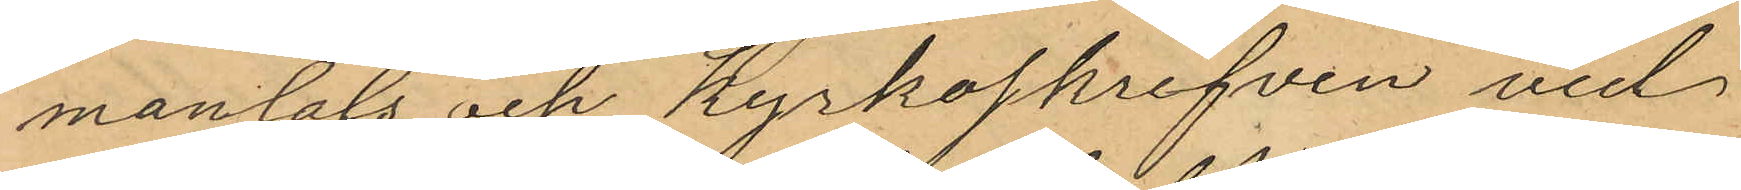mantals och Kyrkoskrifven vid
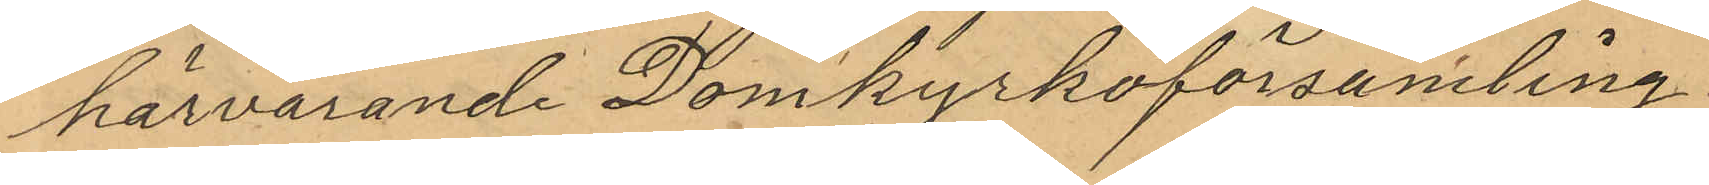härvarande Domkyrkoförsamling.
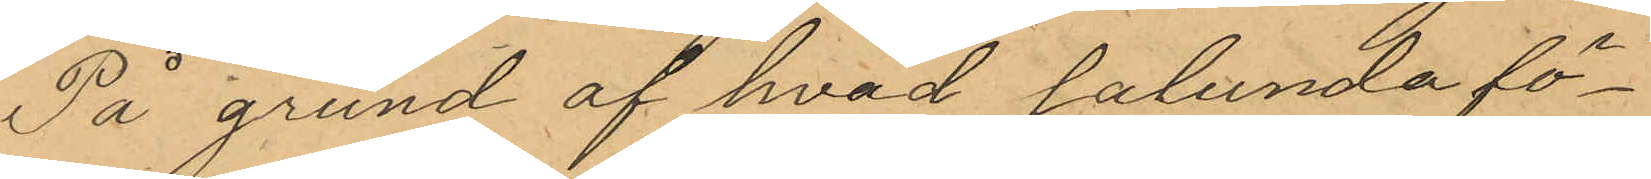På grund af hvad sålunda fö¬
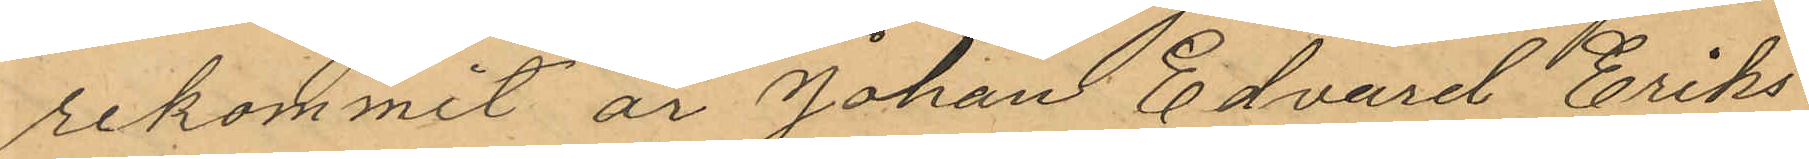rekommit är Johan Edvarit Eriks¬
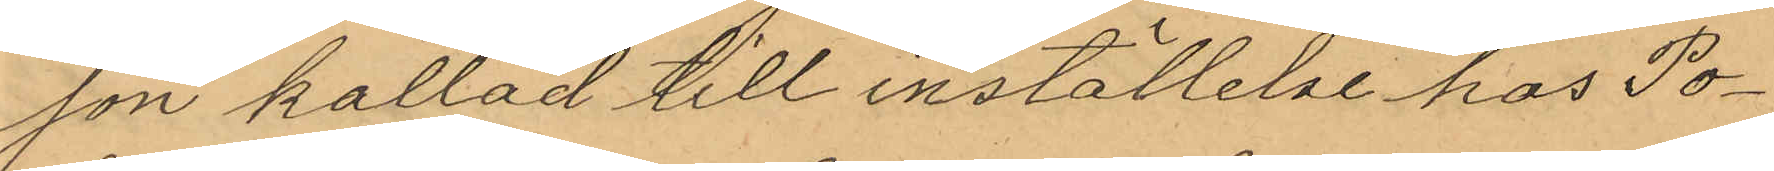son kallad till inställelse hos Po¬
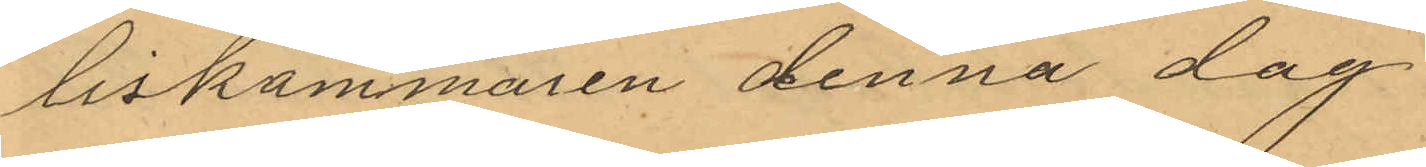liskammaren denna dag
